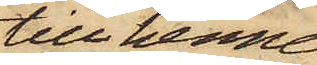till henne
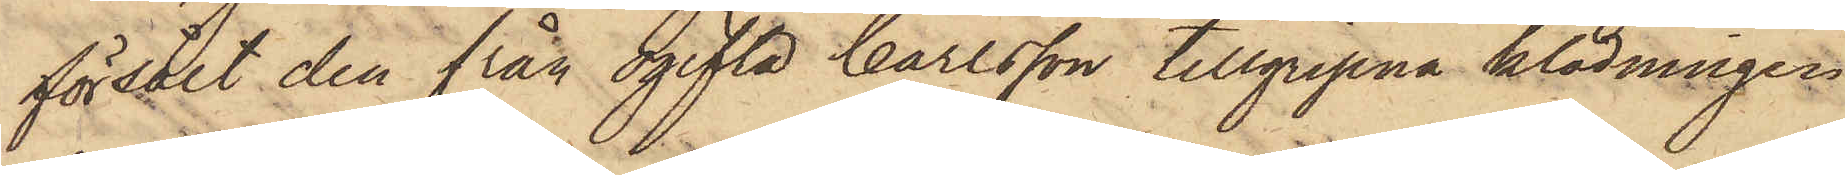försålt den från ogifta Carlsson tillgripna klädningen
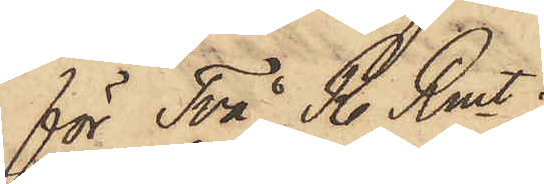för Två R. Rmt.
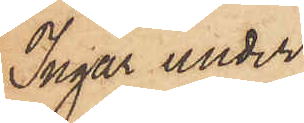Ingår under
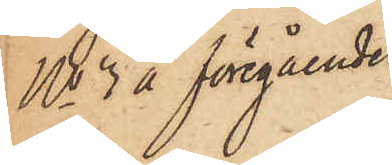No 3 å föregående
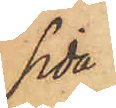sida
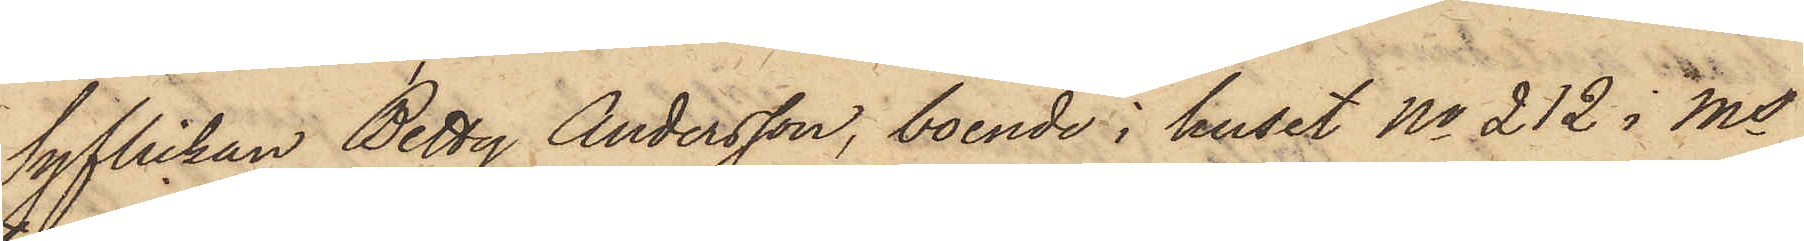Syflickan Betty Andersson, boende i huset No 212 i Ms
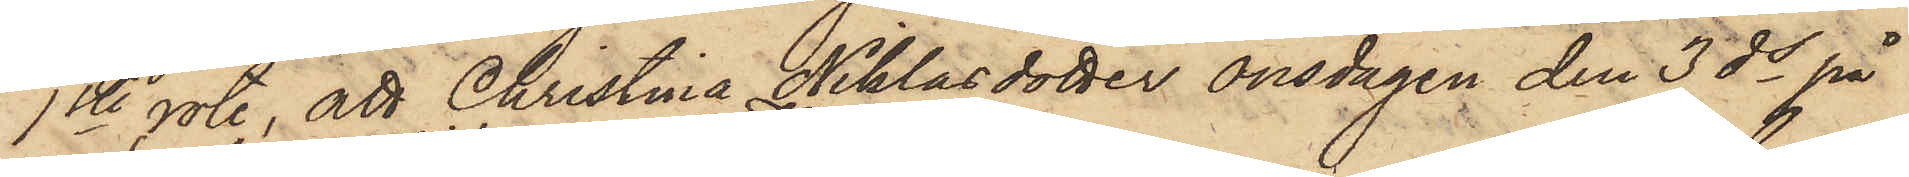1ste rote, att Christina Niklasdotter onsdagen den 3 ds på
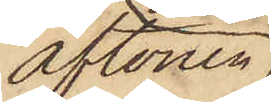aftonen,
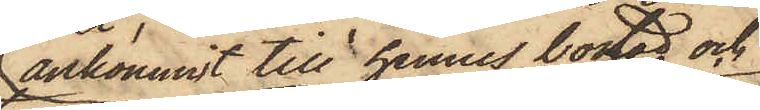ankommit till hennes bostad och
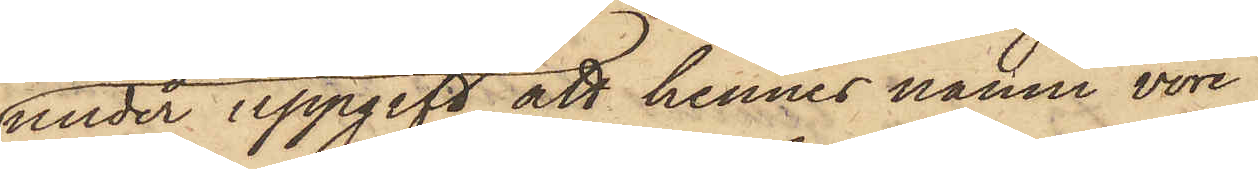under uppgift att hennes namn vore
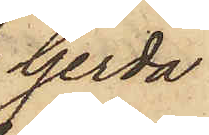Gerda
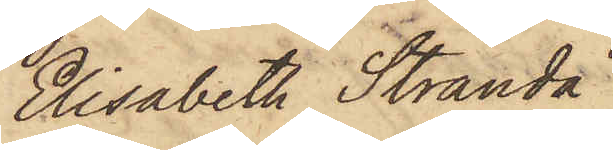Elisabeth Stranda
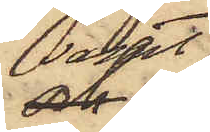samt
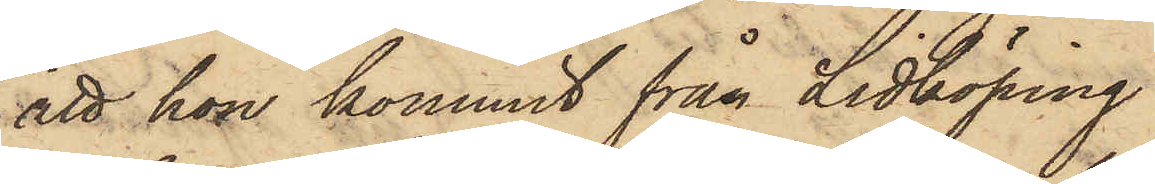att hon kommit från Lidköping
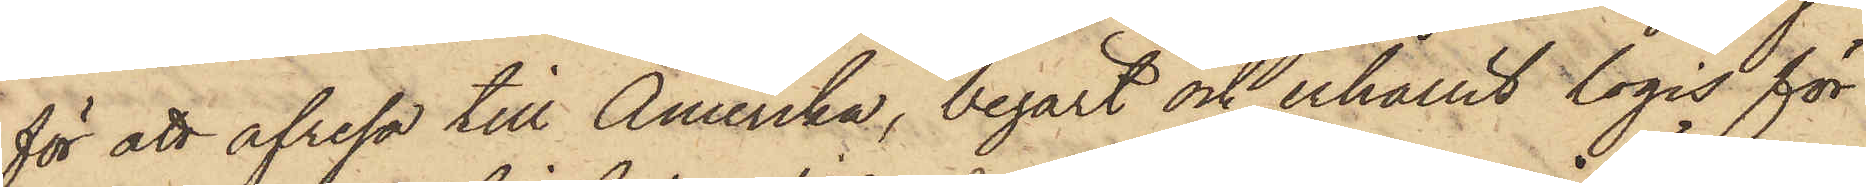för att afresa till Amerika, begärt och erhållit logis för
